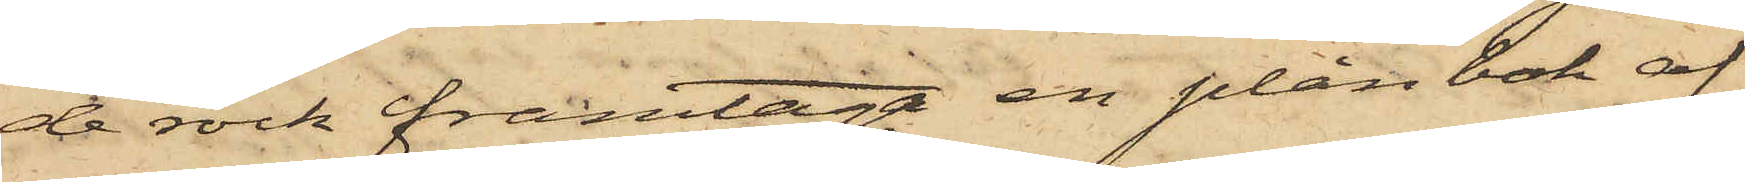de rock framtaga en plånbok af
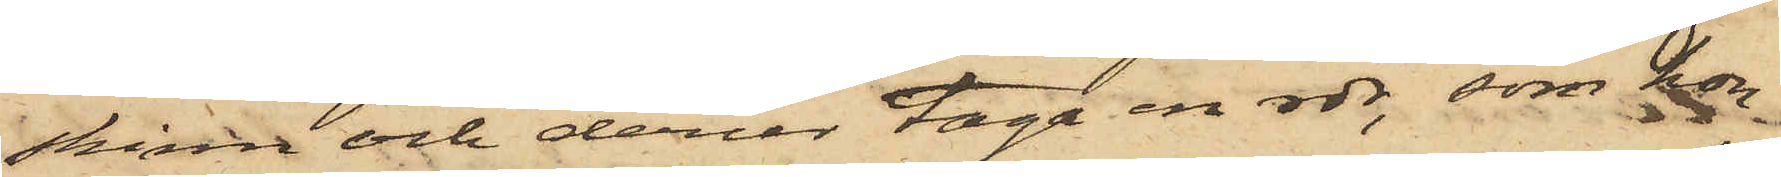skinn och derur taga en rdr, som hon
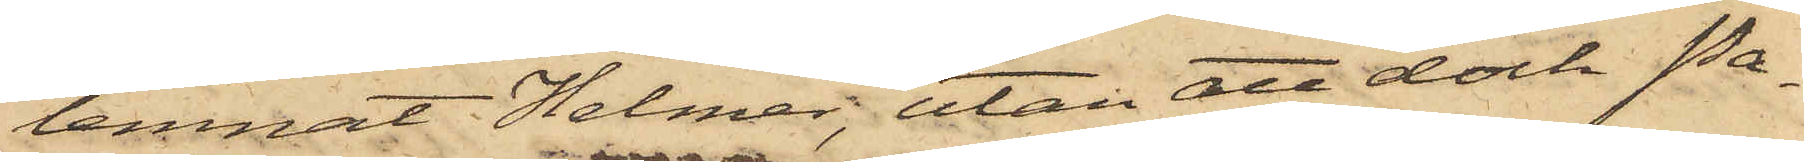lemnat Helmer, utan att dock Pa¬
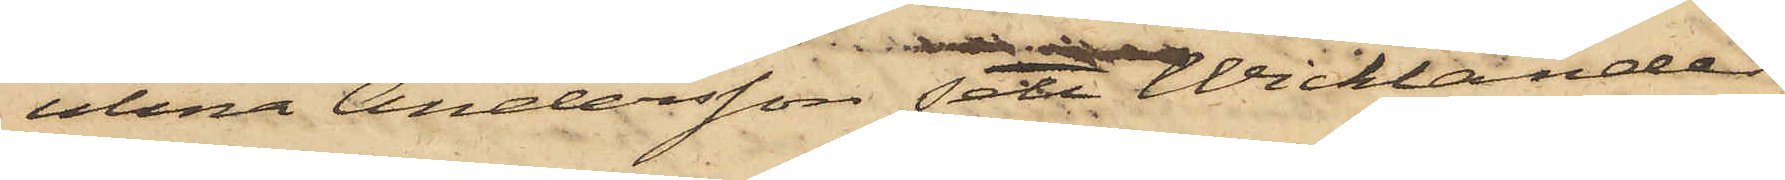ulina Andersson sett Wicklander
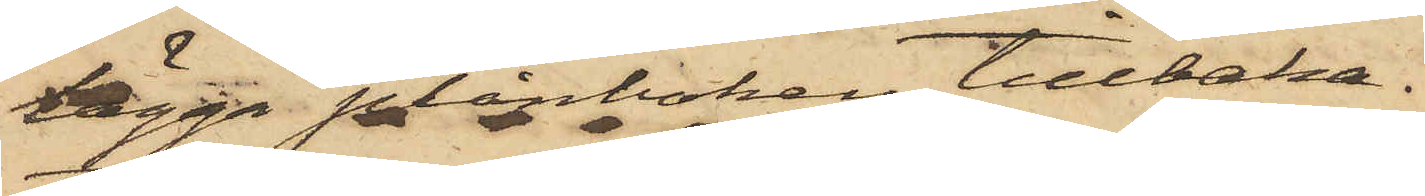lägga plånboken tillbaka.
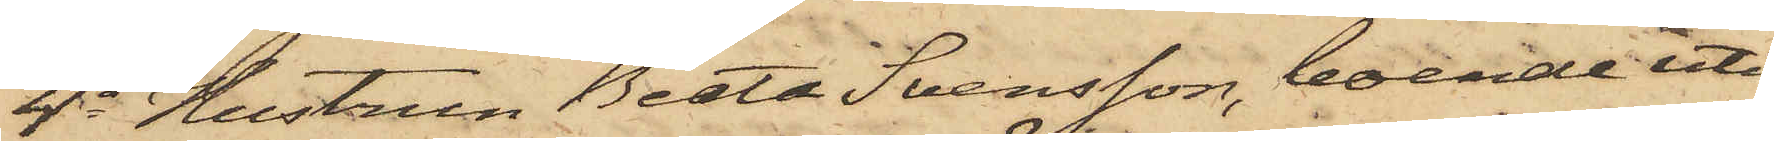4o Hustrun Beata Svensson, boende uti
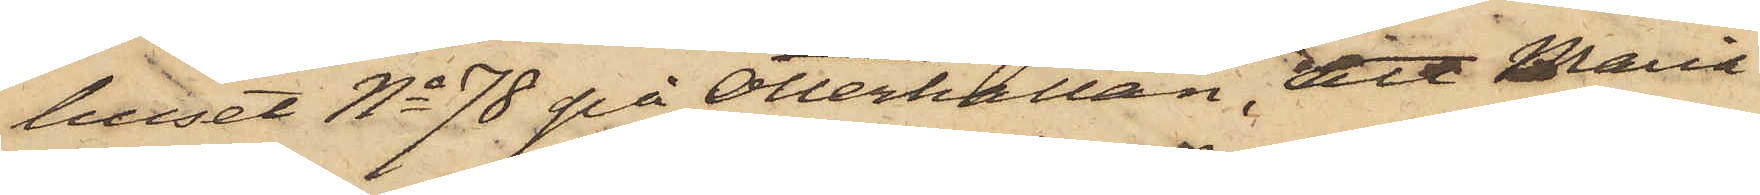huset No 78 på Otterhällan, att Maria
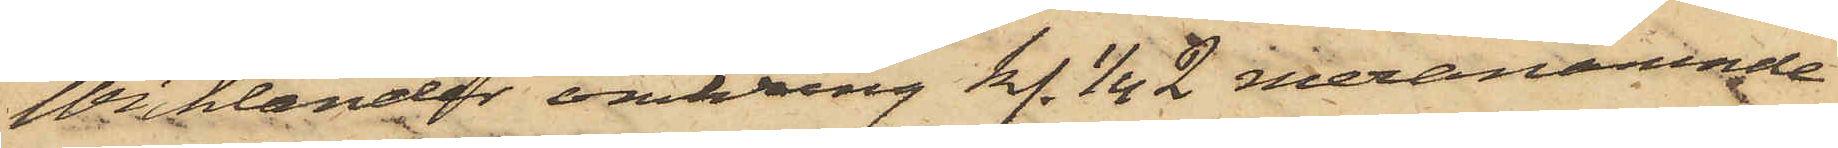Wicklander omkring kl. 1/4 2 meranämnde
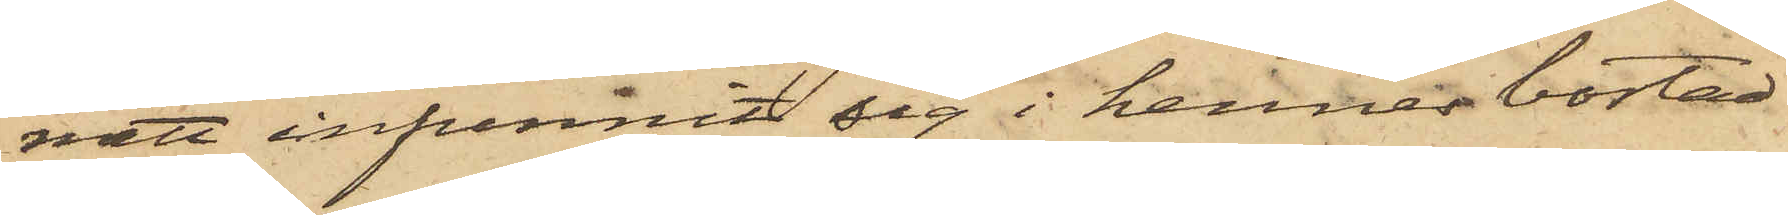natt infunnit sig i hennes bostad
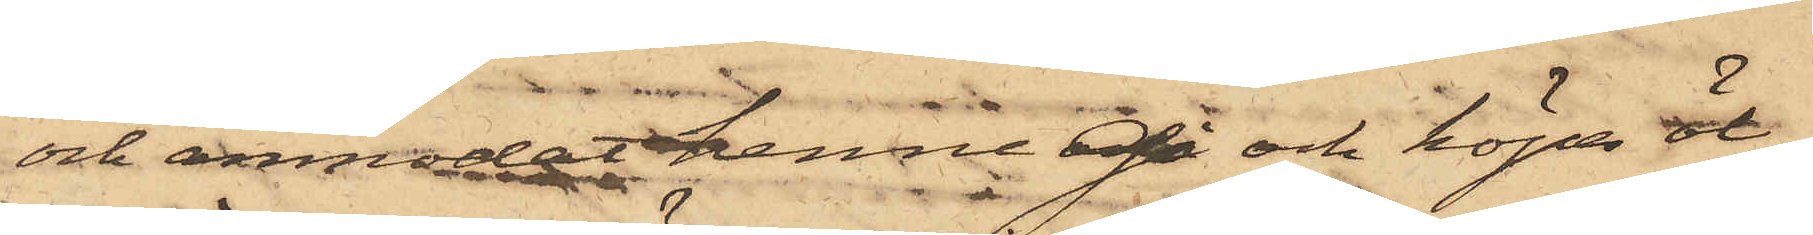och anmodat henne gå och köpa öl,
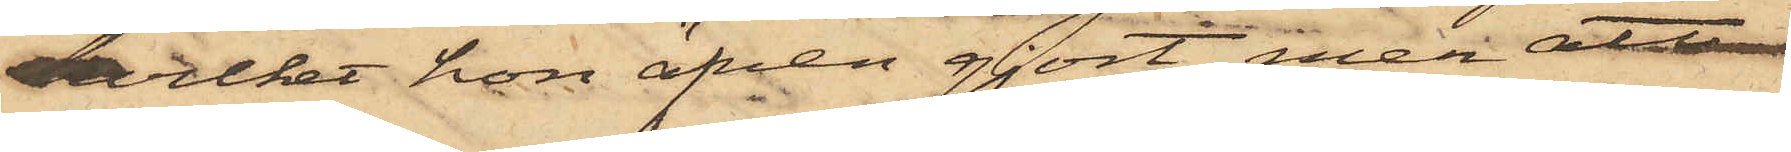hvilket hon äfven gjort, men att
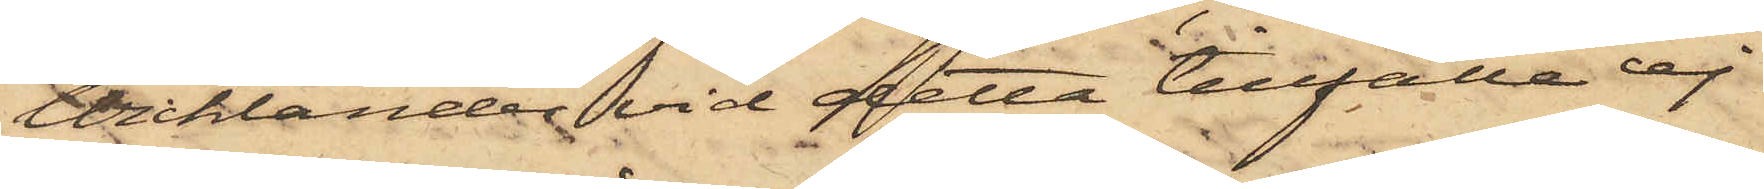Wicklander vid detta tillfälle ej
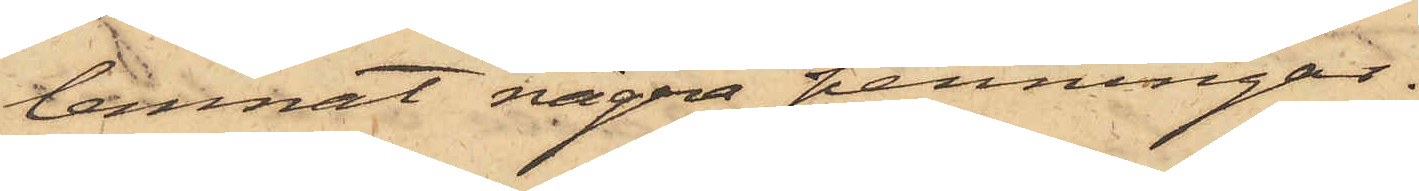lemnat några penningar.
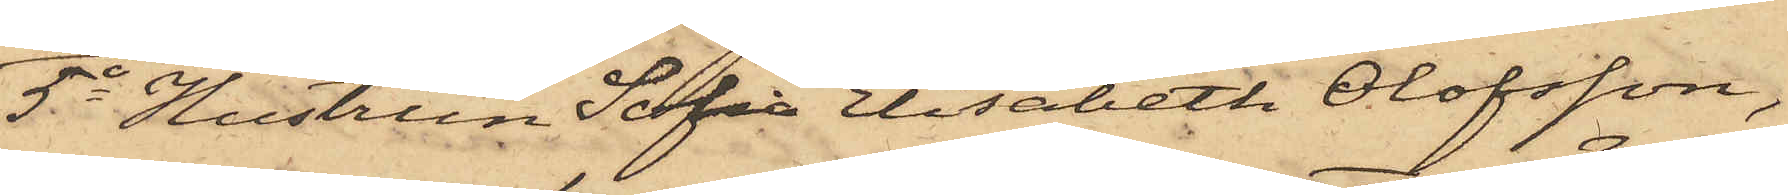5o Hustrun Sofia Elisabeth Olofsson,
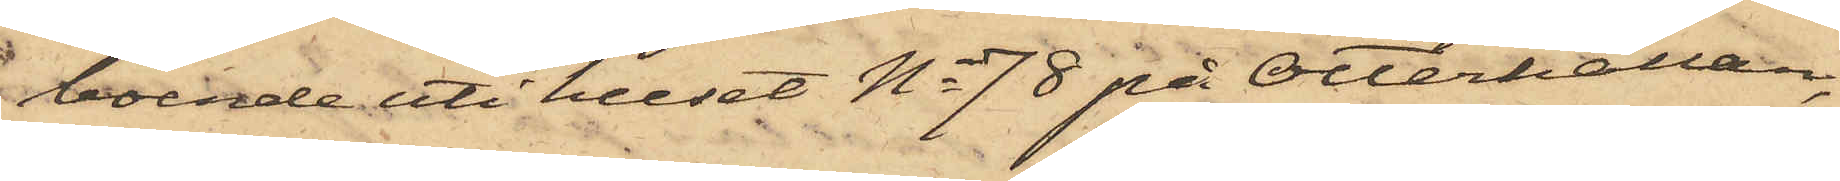boende uti huset No 78 på Otterhällan,
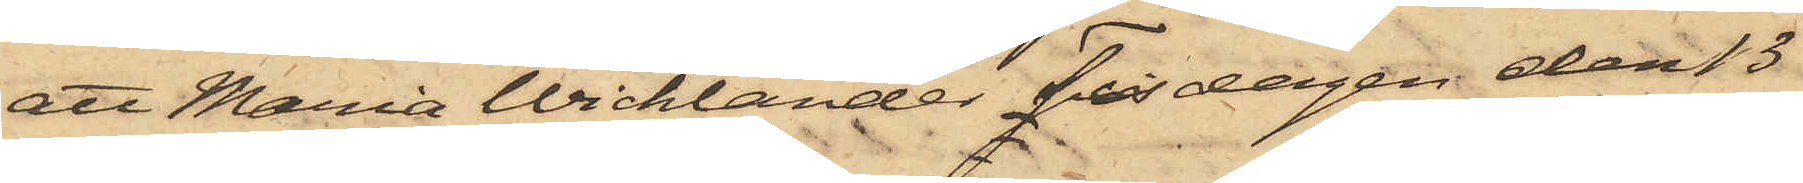att Maria Wicklander Tisdagen den 13
